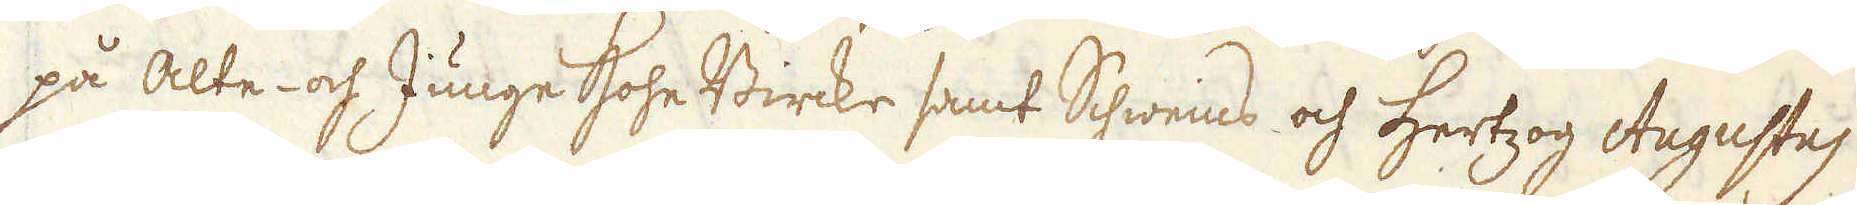på Alte och Junge Hohe Birke samt Schweins och Hertzog Augustus
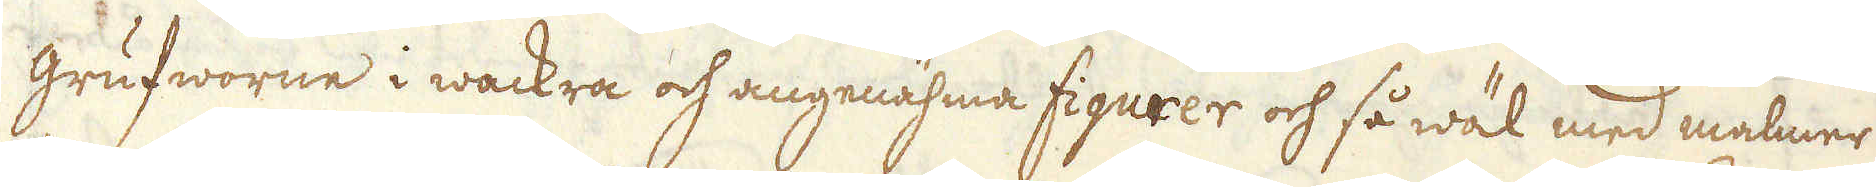grufworne i wackra och angenähma figurer och så wäl med malmer
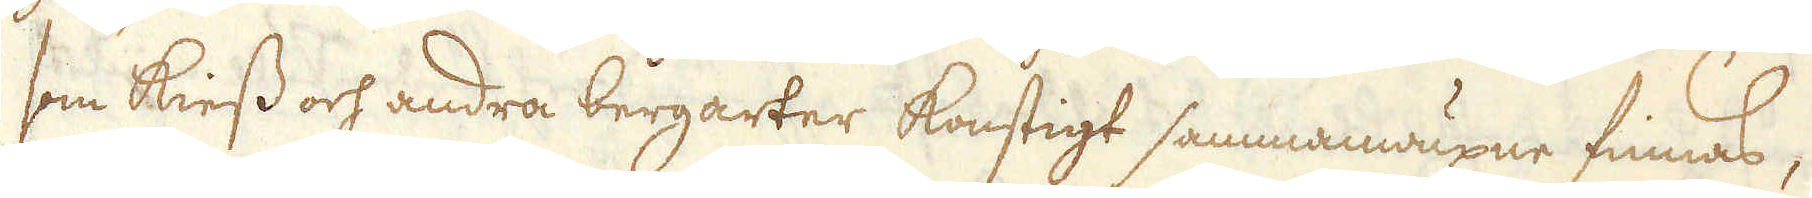som Kiess och andra bergarter konstigt sammanwuxne finnas,
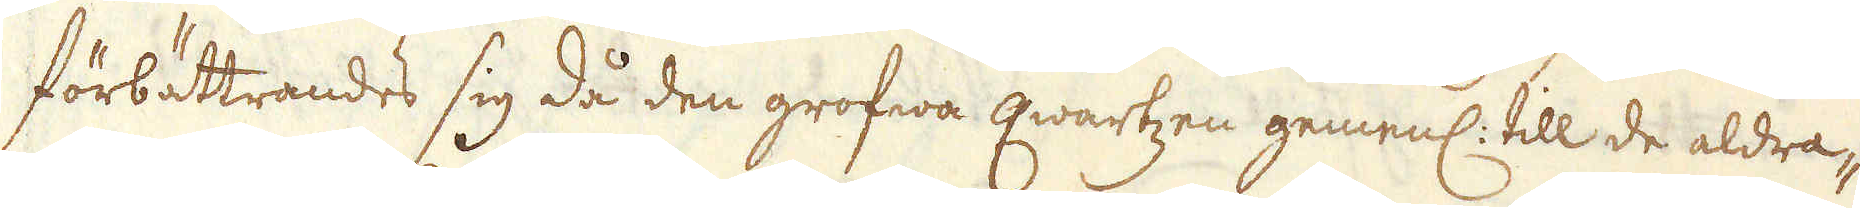förbättrandes sig då den grofwa qwartzen gemenl: till de aldra-
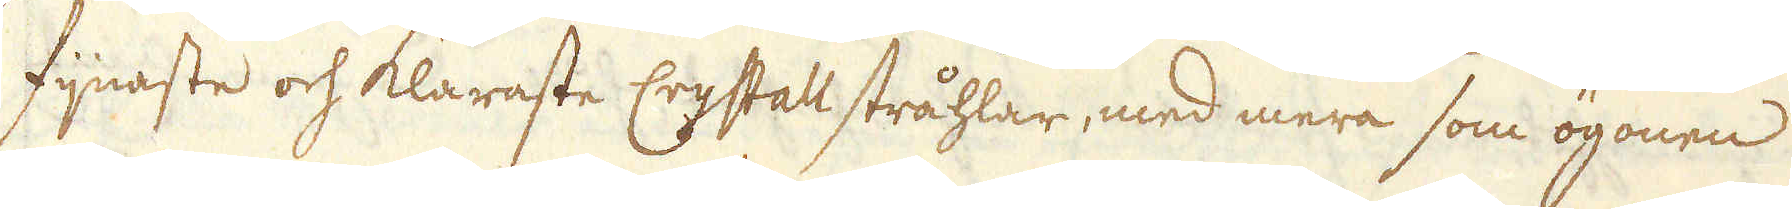fijnaste och klaraste Crystall stråhlar, med mera som ögonen
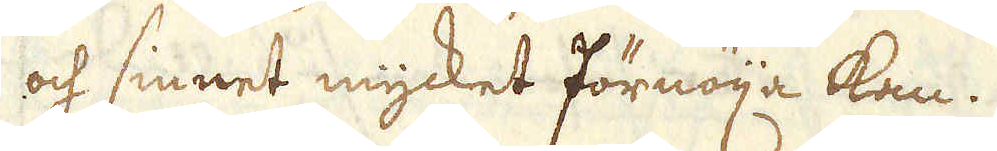och sinnet mycket förnöija kan.
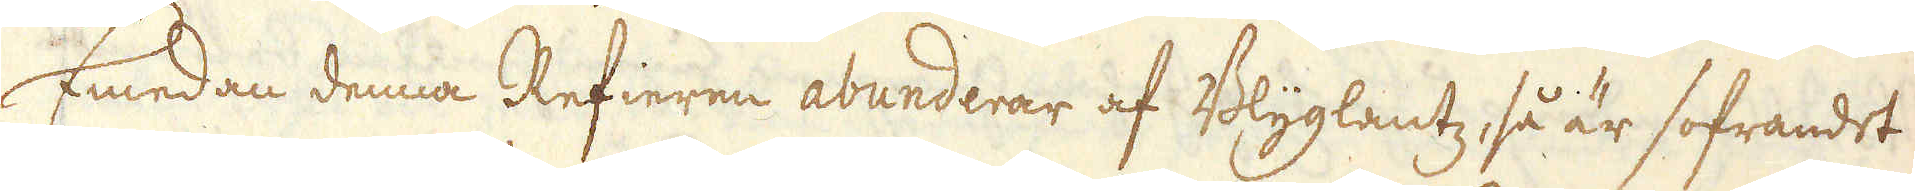Emedan denna Refieren abunderar af Blyglantz, så är sofrandet
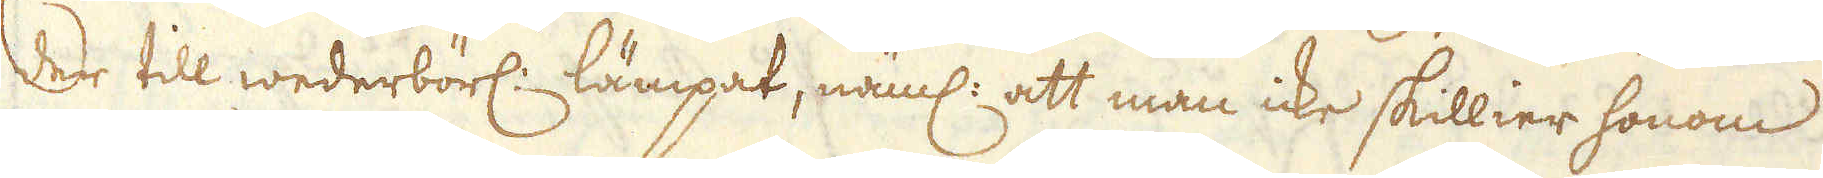der till wederbörl: lämpat, näml: att man icke skillier honom
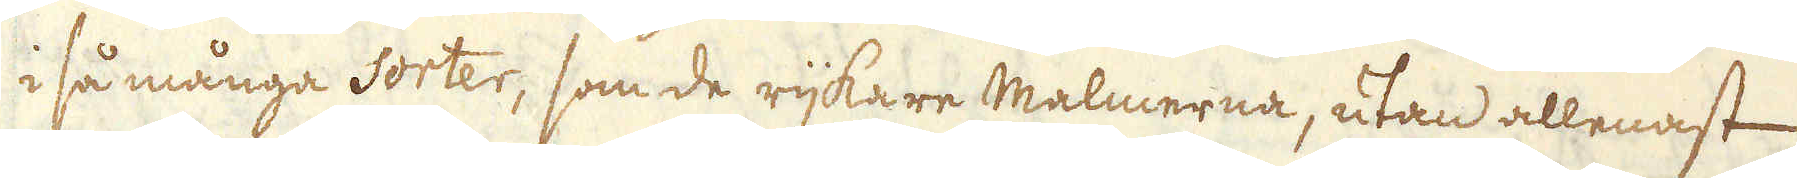i så många Sorter, som de rijkare Malmerna, utan allenast
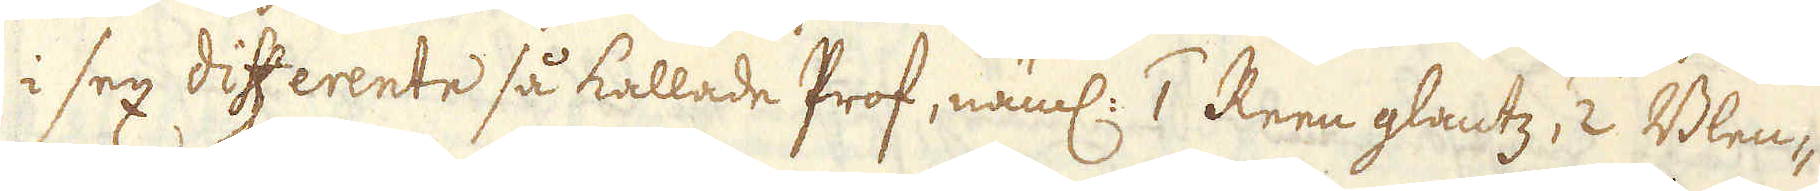i sex differente så kallade Prof, näml: 1 Reen glantz, 2 Blen-
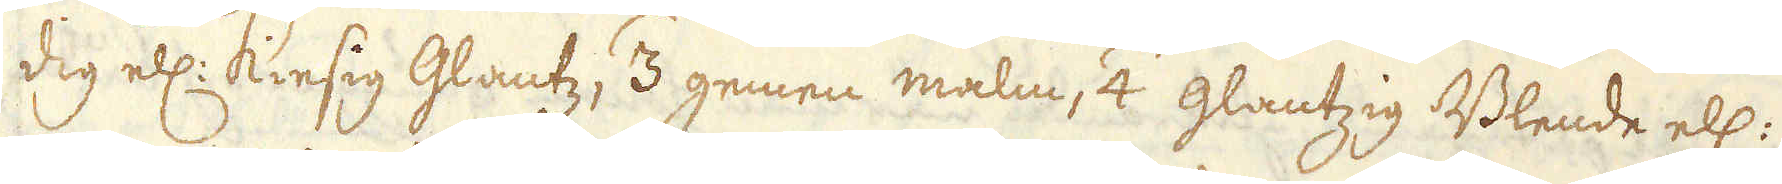dig ell: Kiesig Glantz, 3 gemen malm, 4 glantzig Blende ell:
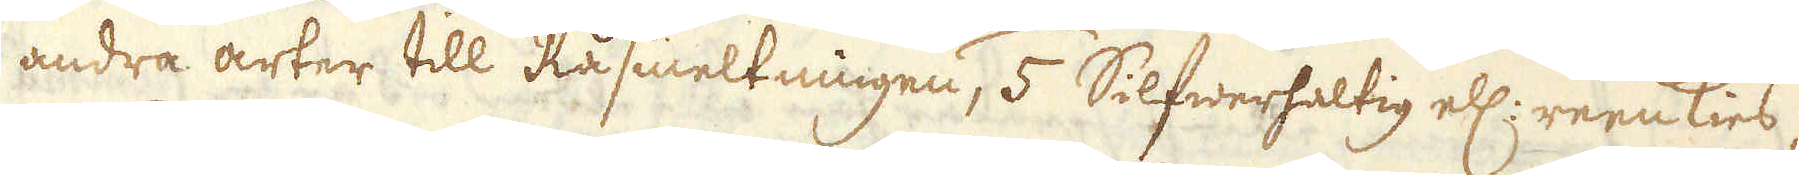andra arter till Råsmeltningen, 5 Silfwerhaltig ell: reenkies,
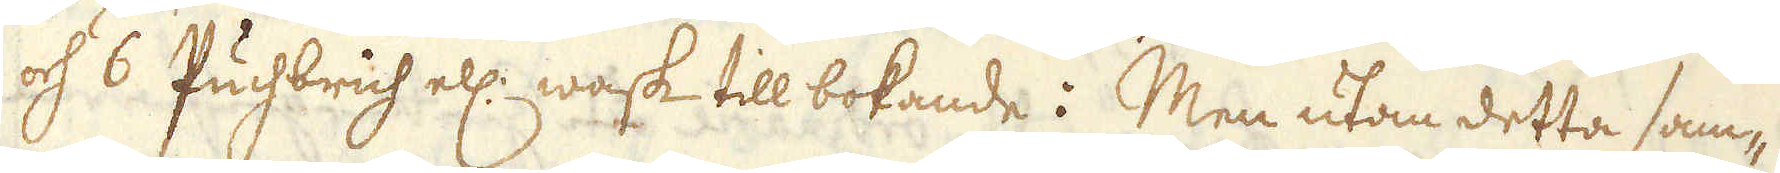och 6 Puchbrich ell: wask till bokande: Men utan detta sam-
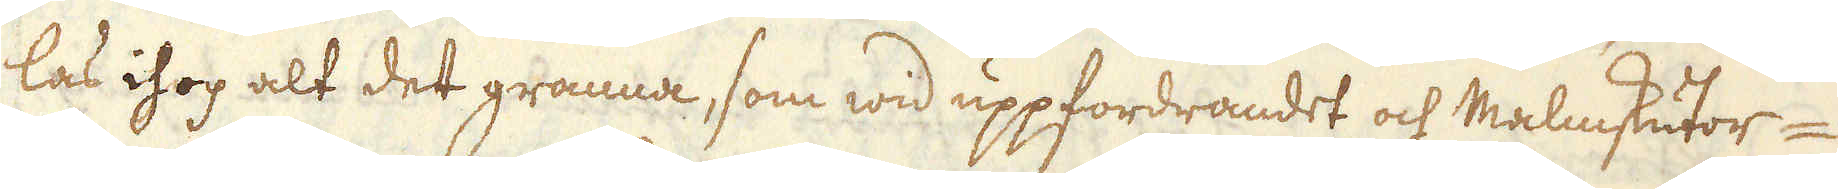las ihop alt det granna, som wid uppfordrandet och Malmskutor-
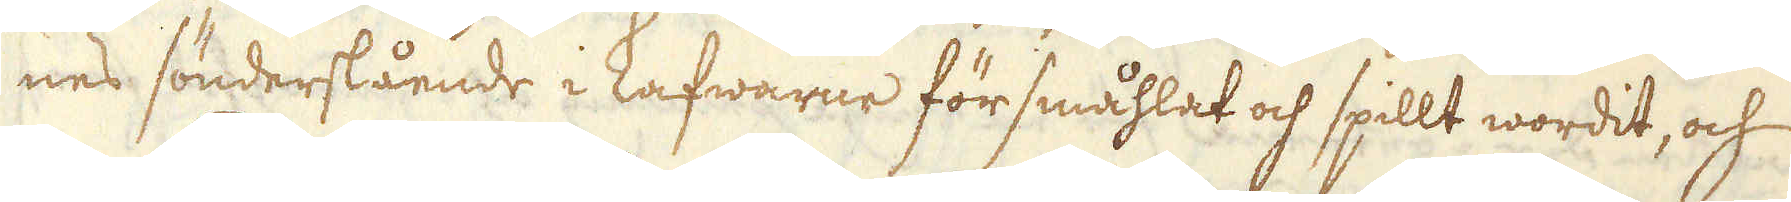nes sönderslående i kafwarne försmåhlat och spillt wordit, och
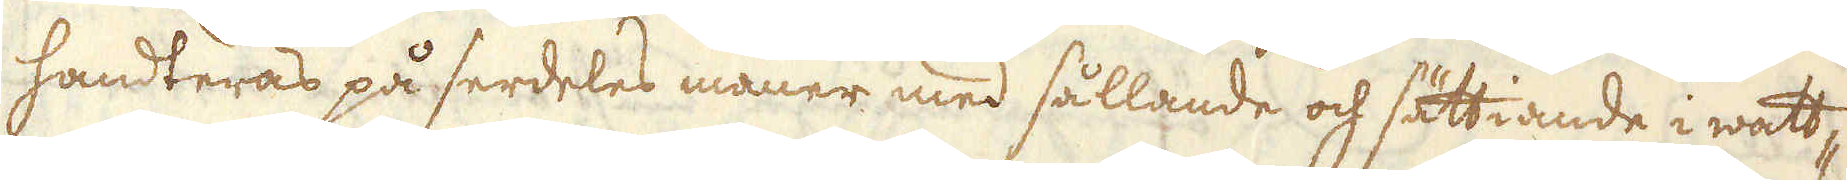handteras på serdeles maner med sållande och sättiande i watt-
